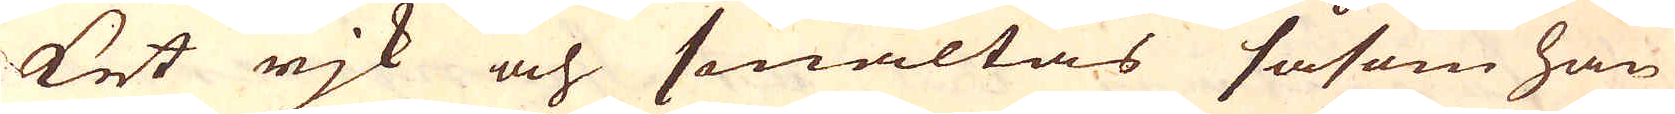ket rjk och smältas såsom han
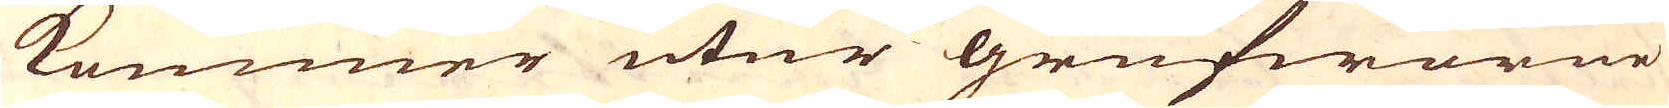kommer utur grufworne
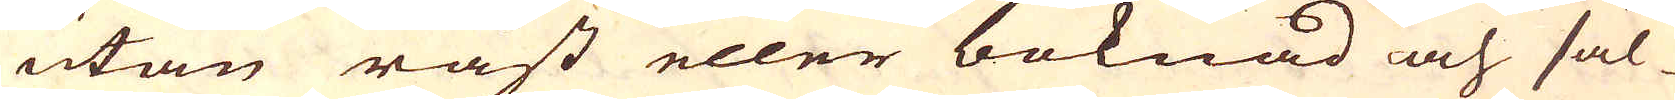utan råst eller boknad och säl-
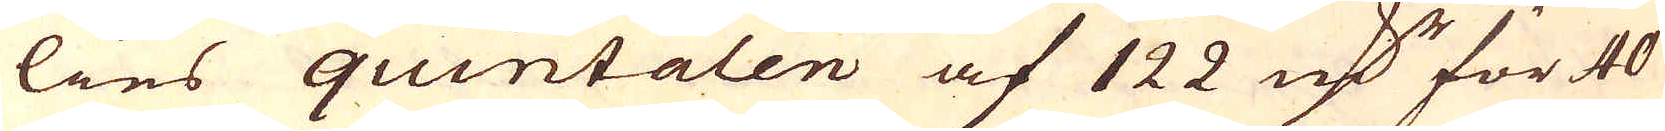lies quintalen af 122 marker för 40
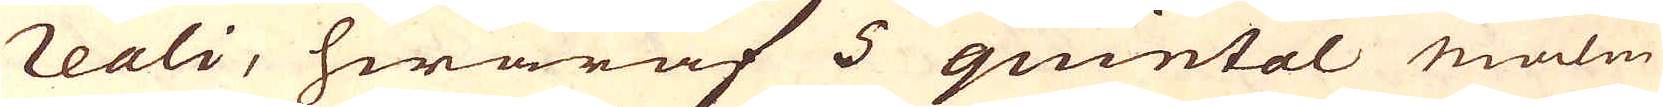reali, hwaraf 5 quintal malm
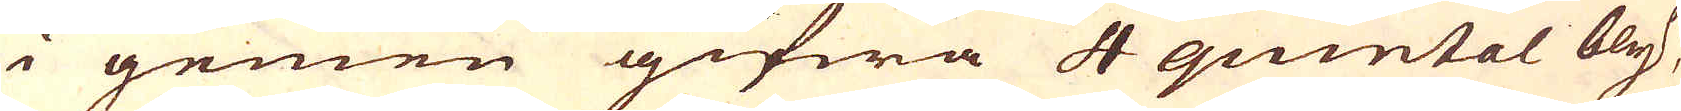i gemen gifwa 4 quintal bly,
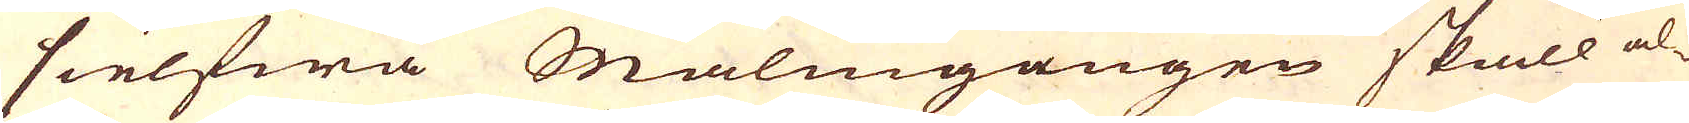sielfwa Malmgången skall al-
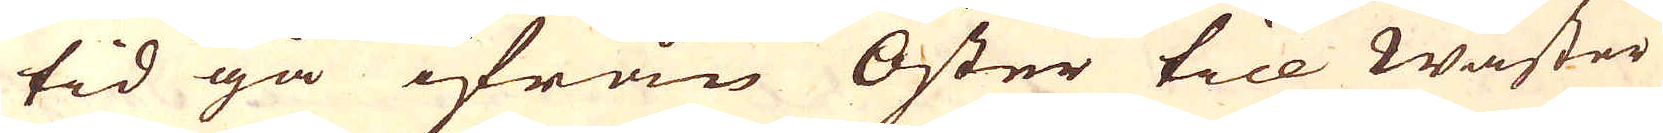tid gå ifrån Öster till Wäster
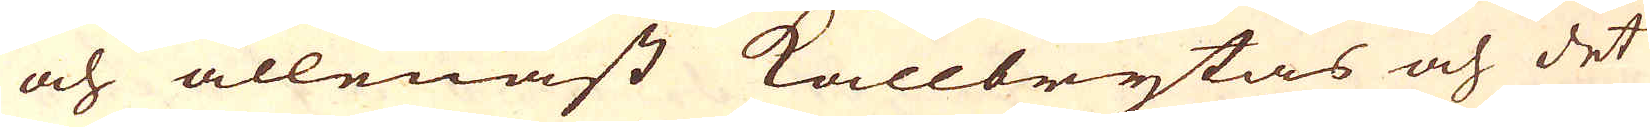och allenast kallbrytas och det
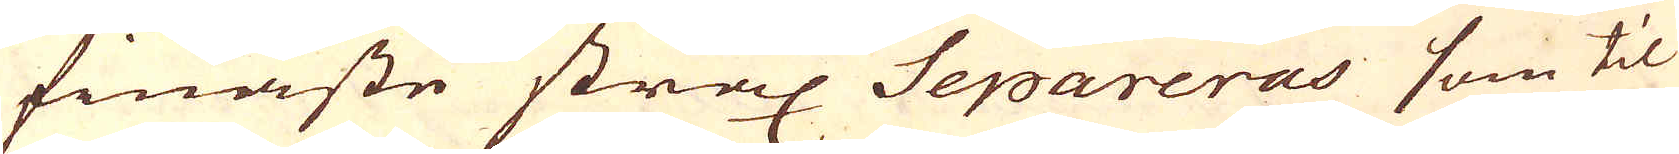finaste strax Separeras som til
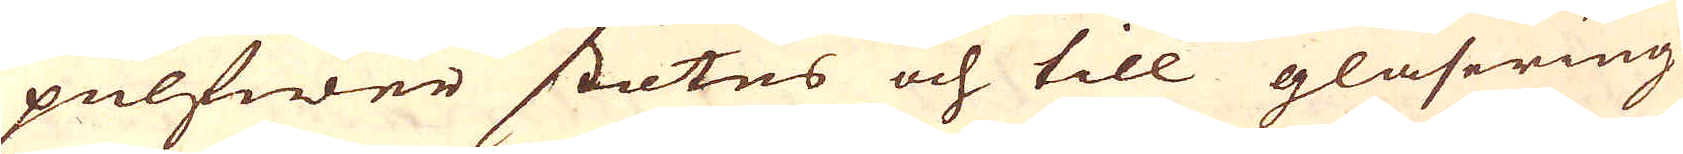pulfwer stötes och till glasering
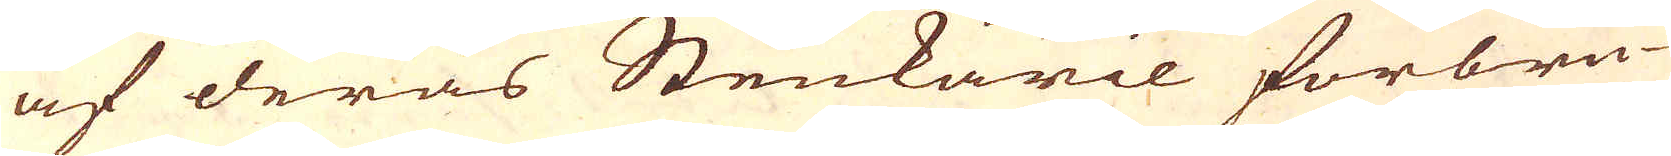af deras Stenkäril förbru-
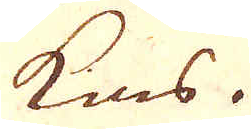kas.
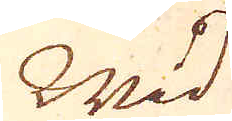Wid
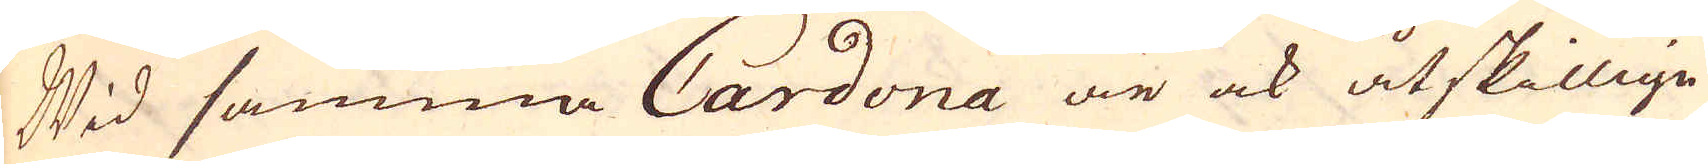Wid samma Cardona är ock åtskillige
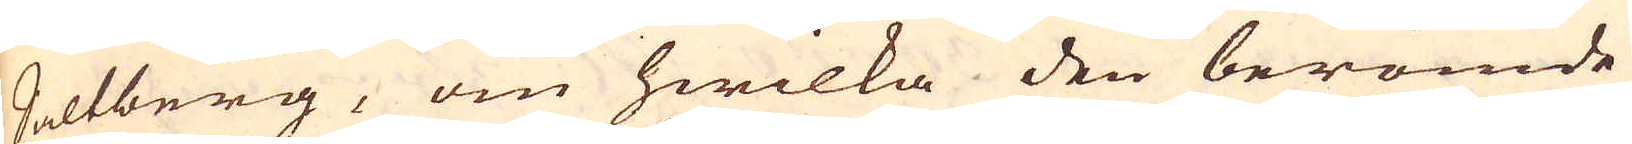Saltberg, om hwilka den berömde
